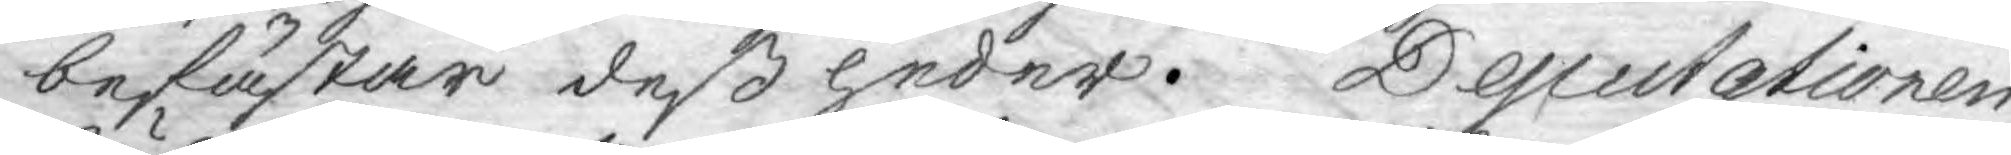befästar dess heder. Deputationen
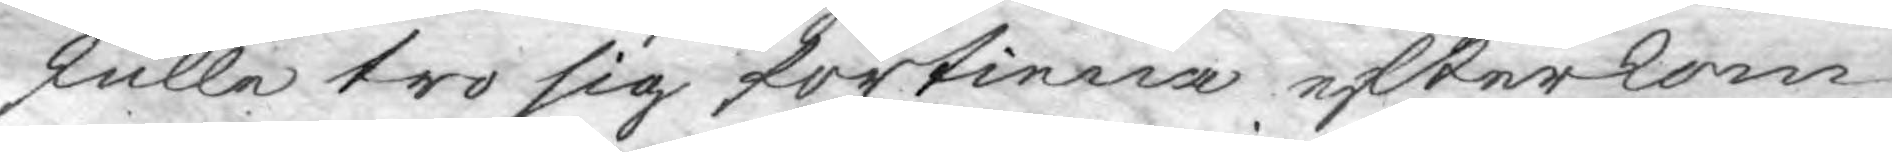skulle tro sig förtiena efterkom¬
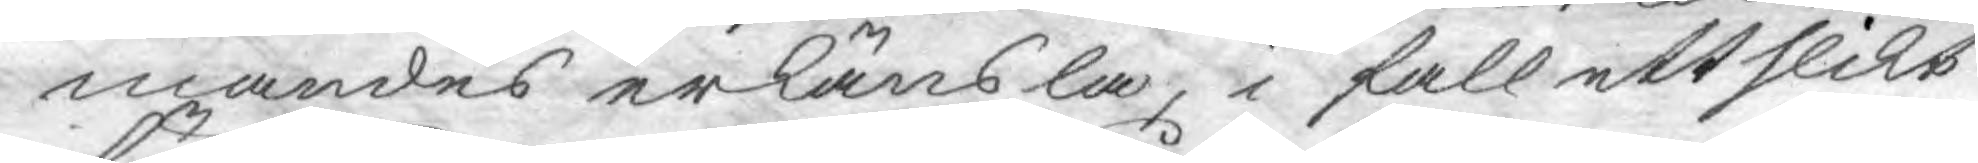mandes erkänsla, i fall ett slikt
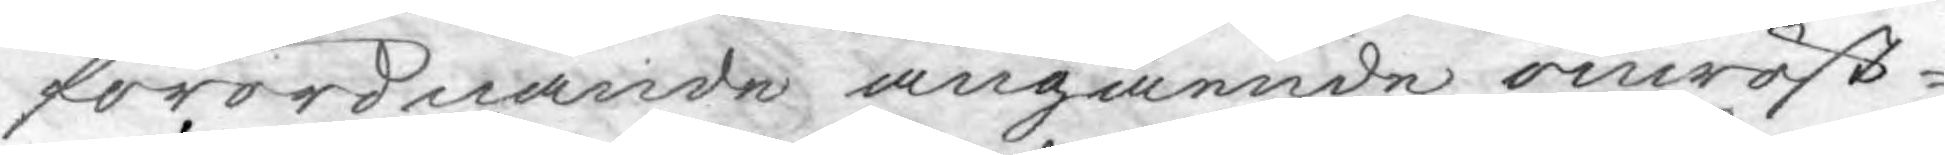förordnande angående omröst¬
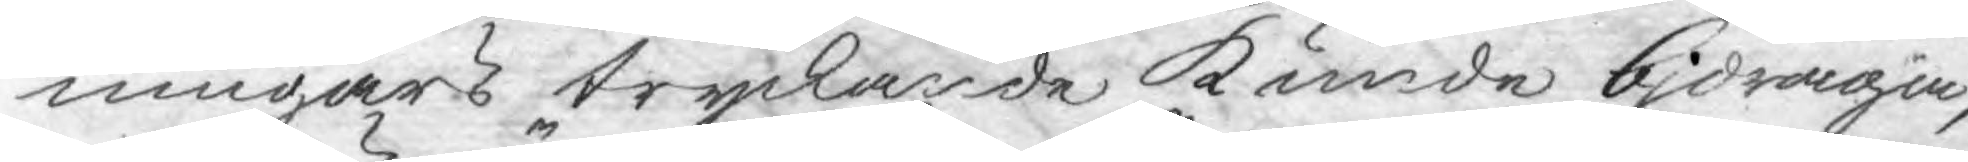ningars tryckande kunde bidraga,
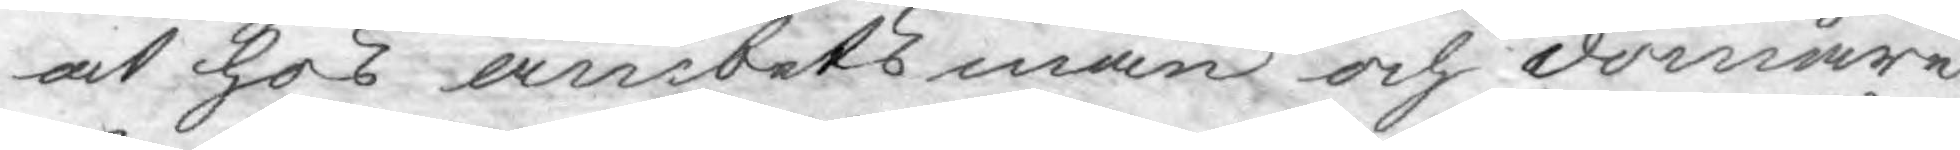at hos ämbetsmän och domare
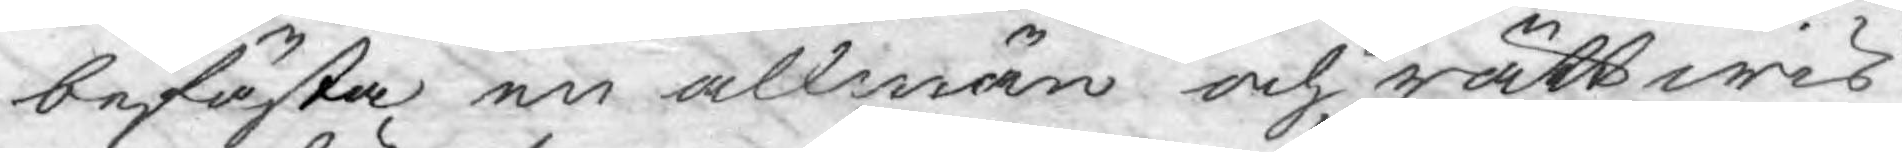befästa en allmän och rättwis
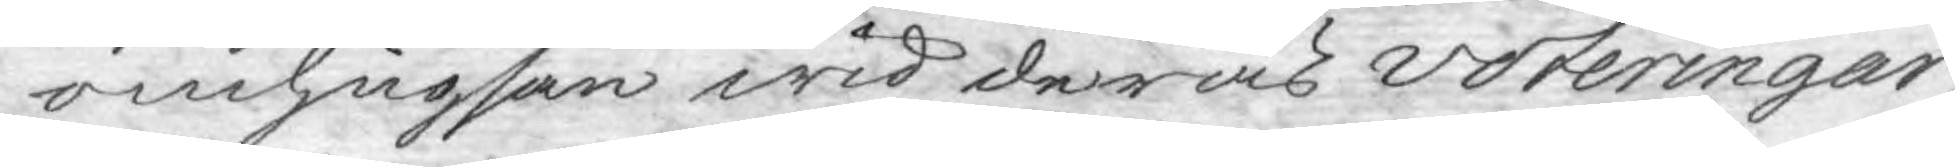omhugsan wid deras voteringar,
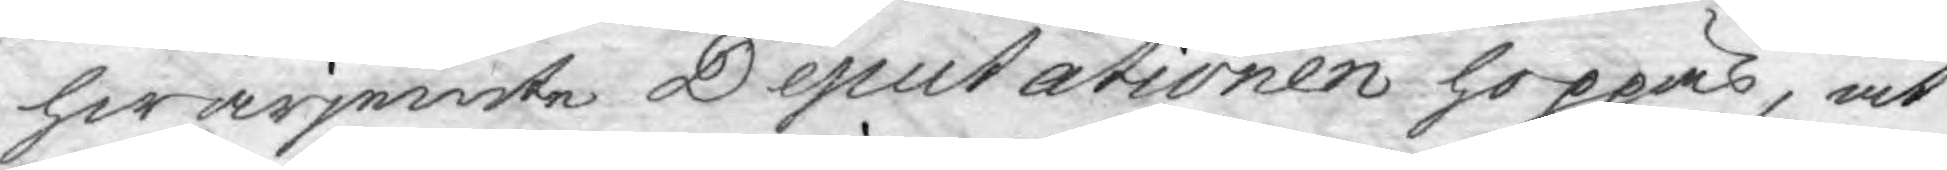hwarjemte Deputationen hoppas, at
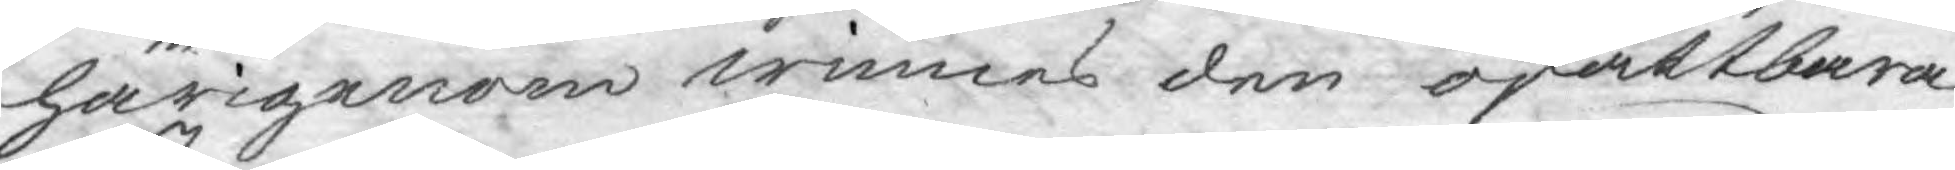härigenom winnes den oskattbara
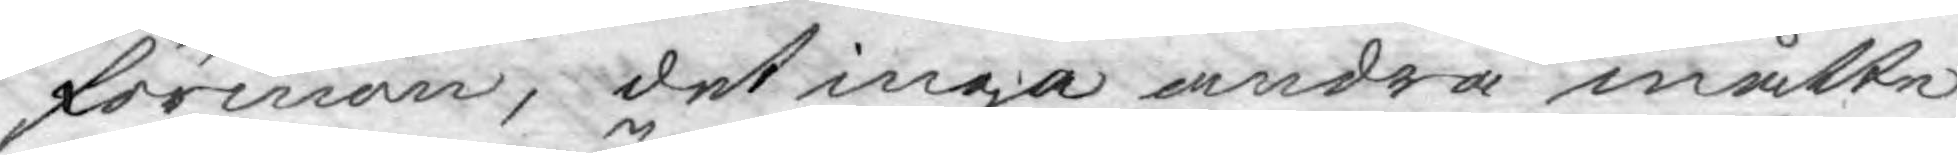förman, det inga andra måtte
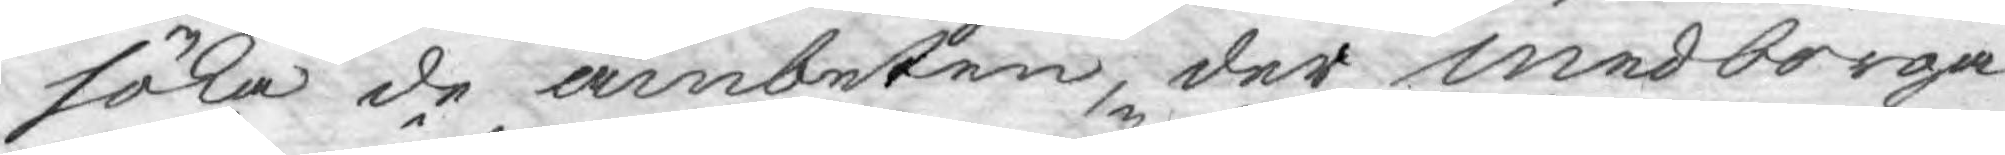söka de ämbeten, der medborga¬
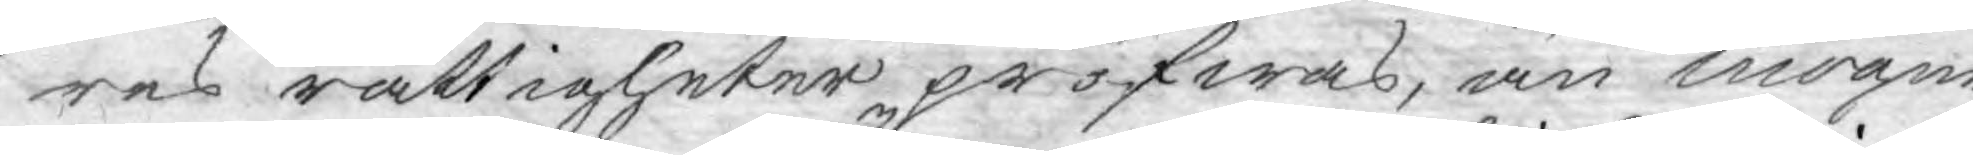res rättigheter pröfwas, än mogne
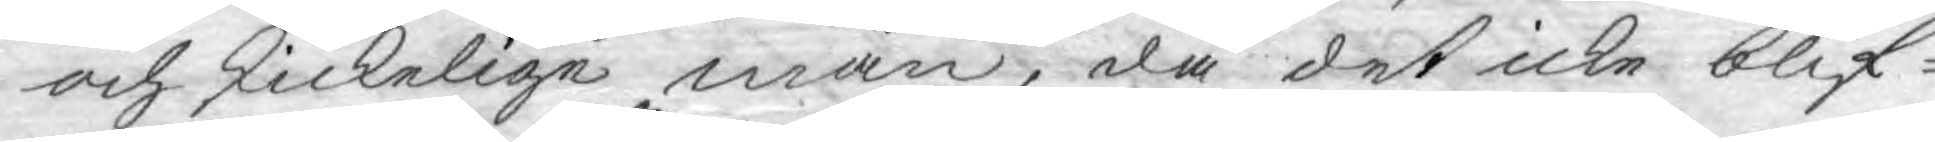och skickelige män, då det icke blif¬
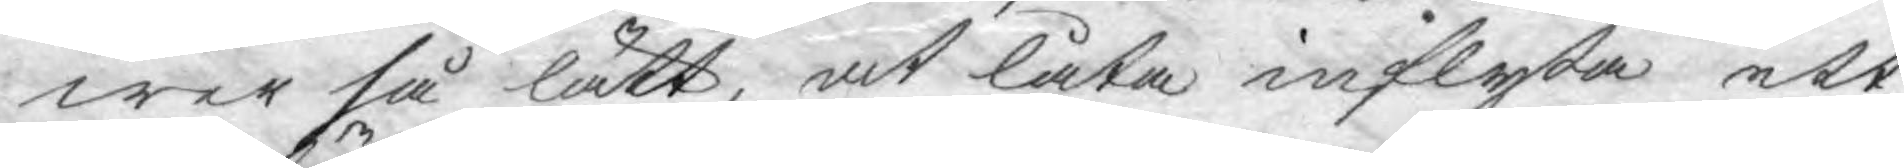wer så lätt, at låta inflyta ett
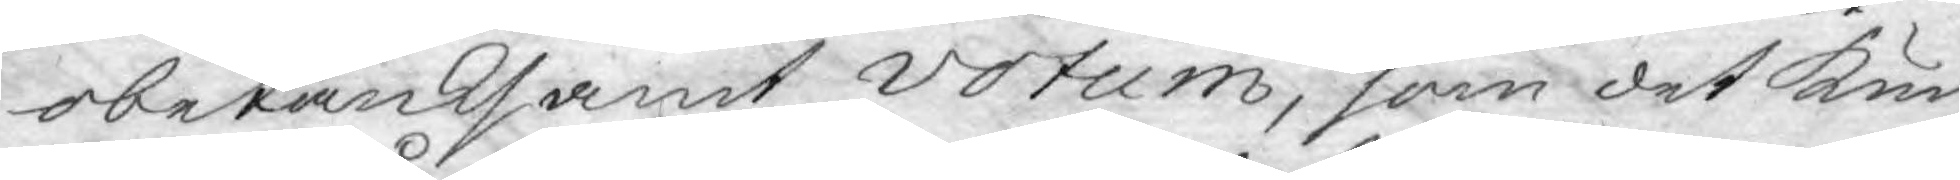obetänksamt votum, som det kun
